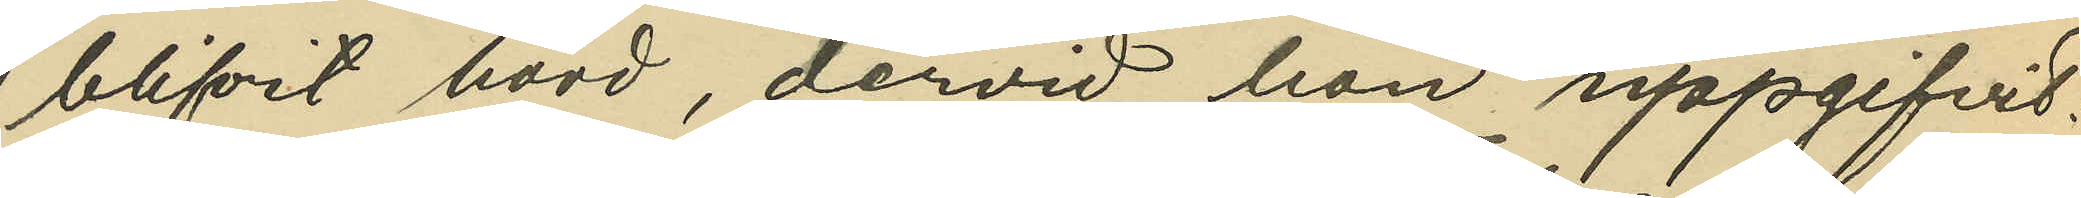blifvit hörd, dervid hon uppgifvit:
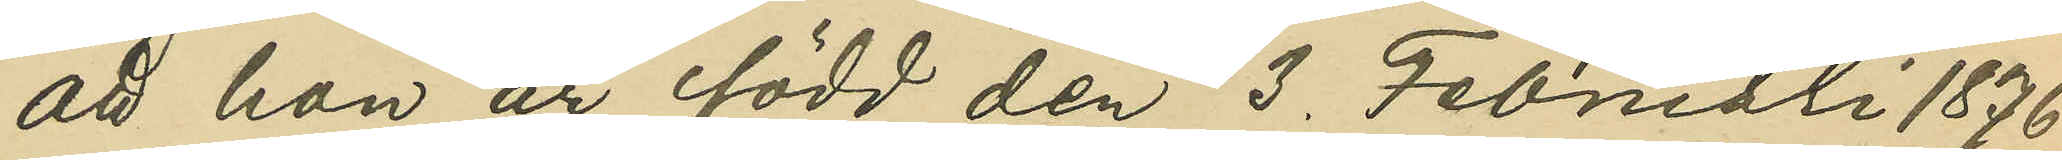att hon är född den 3 Februari 1876
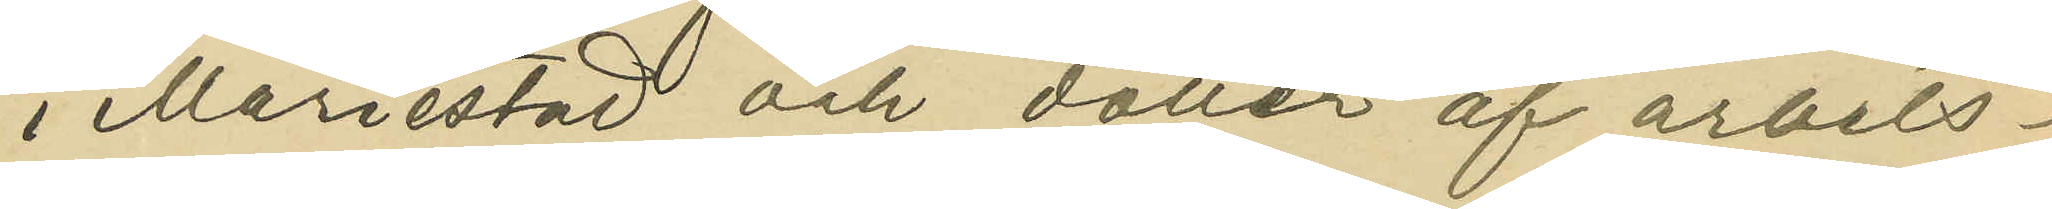i Mariestad och dotter af arbets-
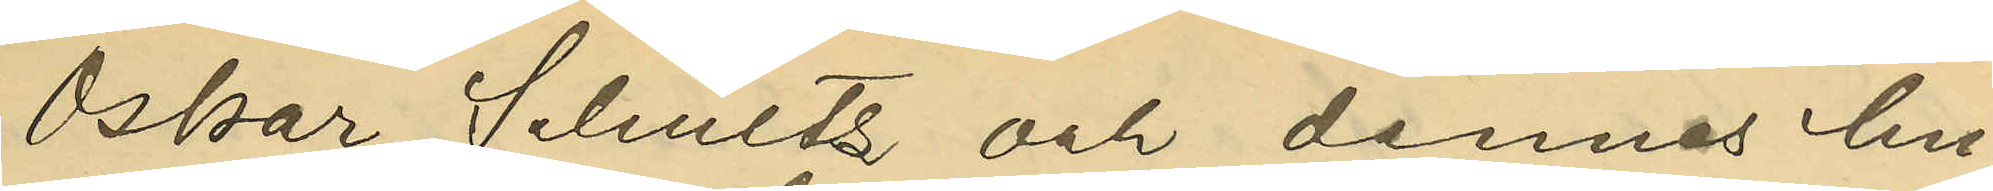Oskar Schultz och dennes hu¬
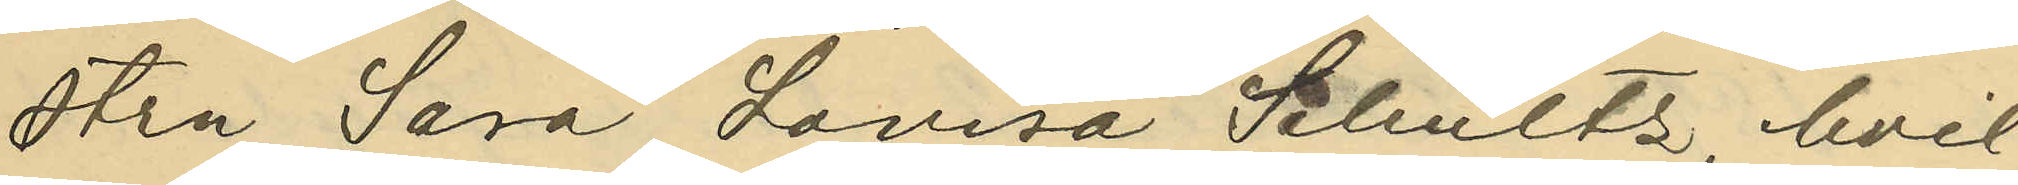stru Sara Lovisa Schultz, hvil¬
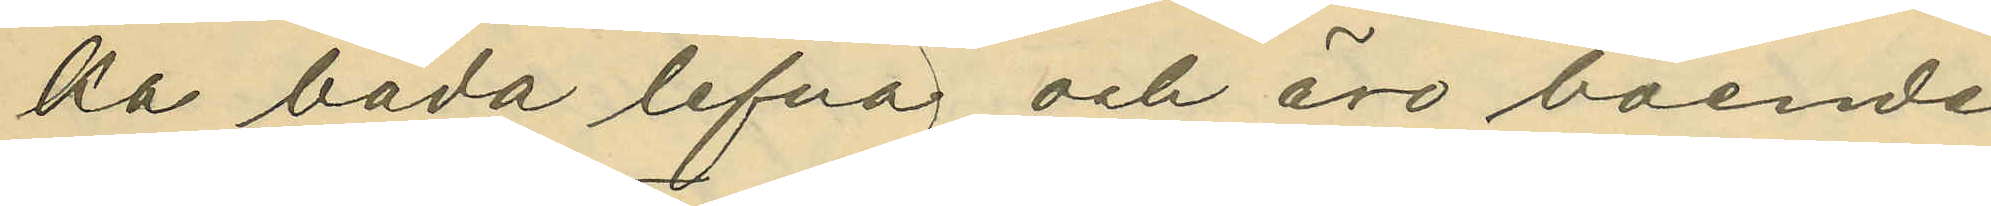ka båda lefva och äro boende
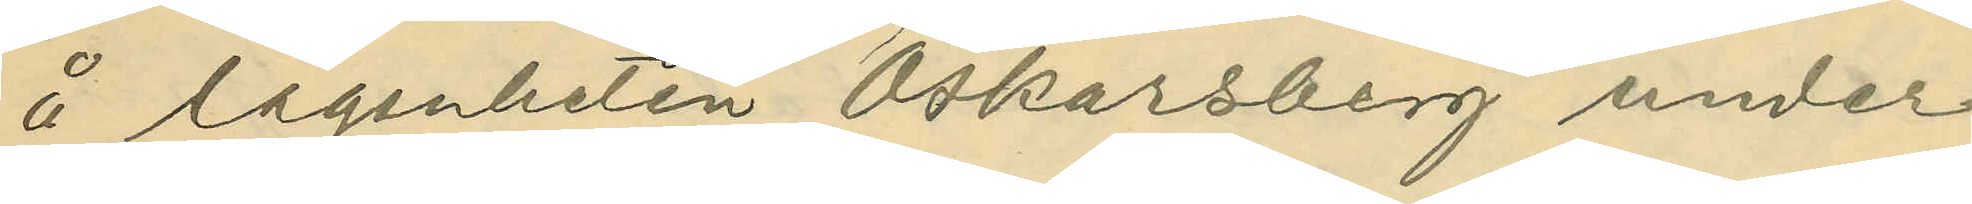å lägenheten Oskarsberg under
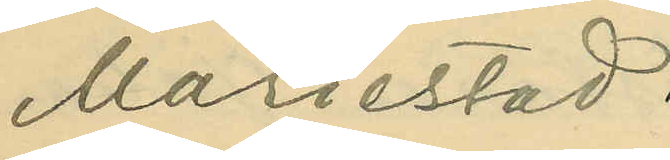Mariestad.
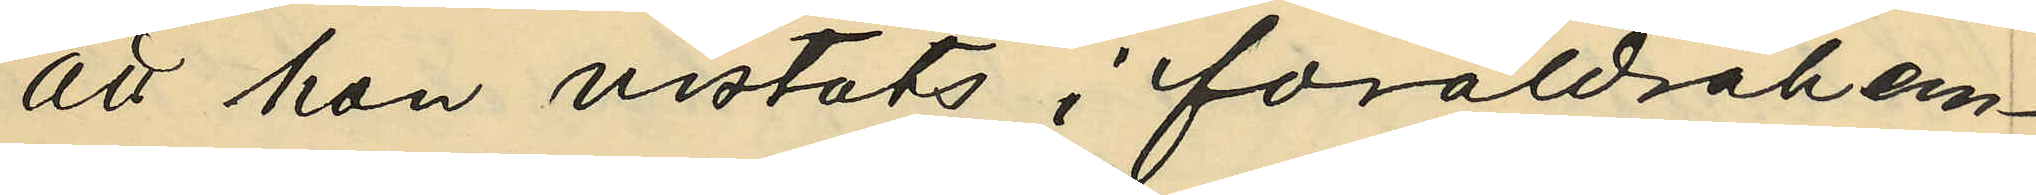att hon vistats i föräldrahem¬
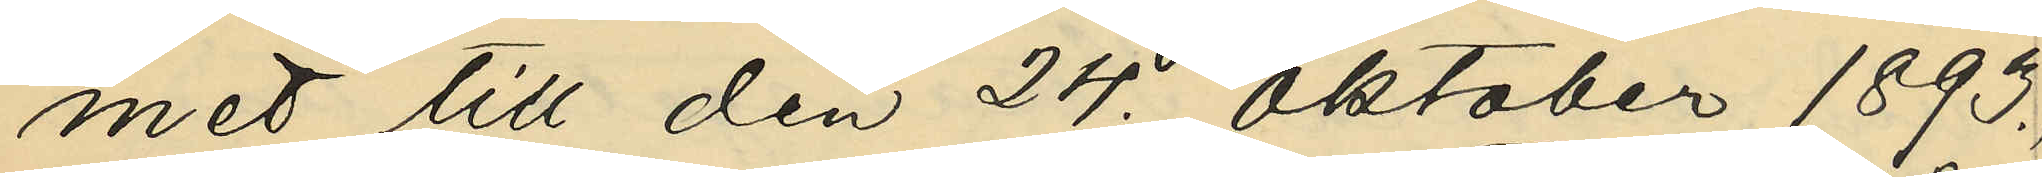met till den 24. Oktober 1893.,
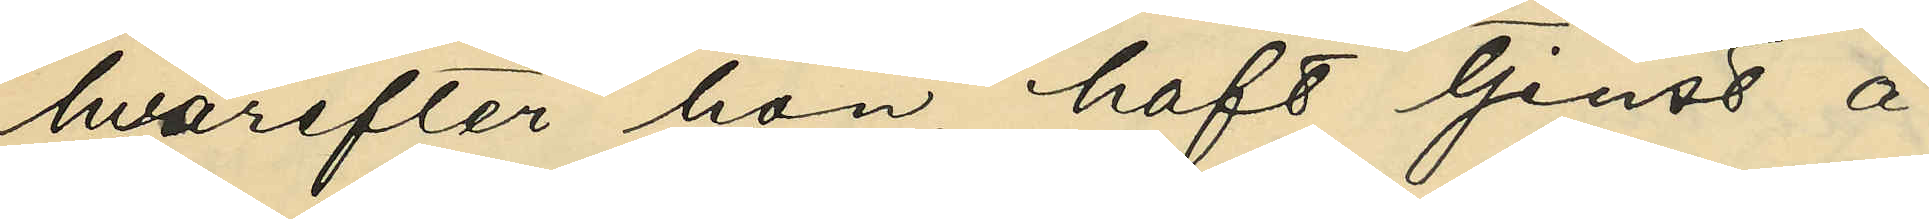hvarefter hon haft tjenst å
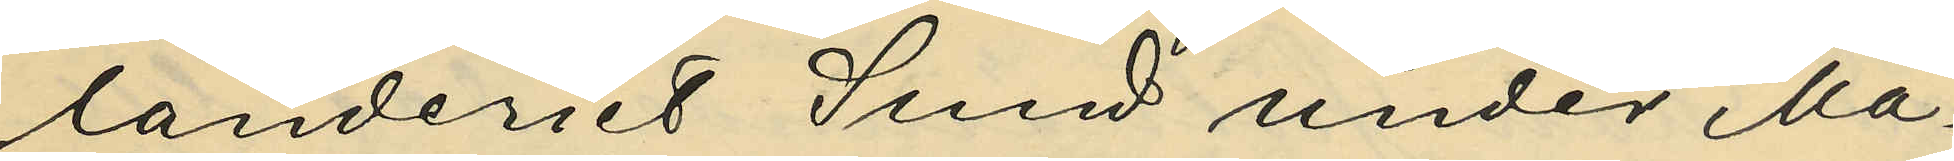landeriet Sund under Ma¬
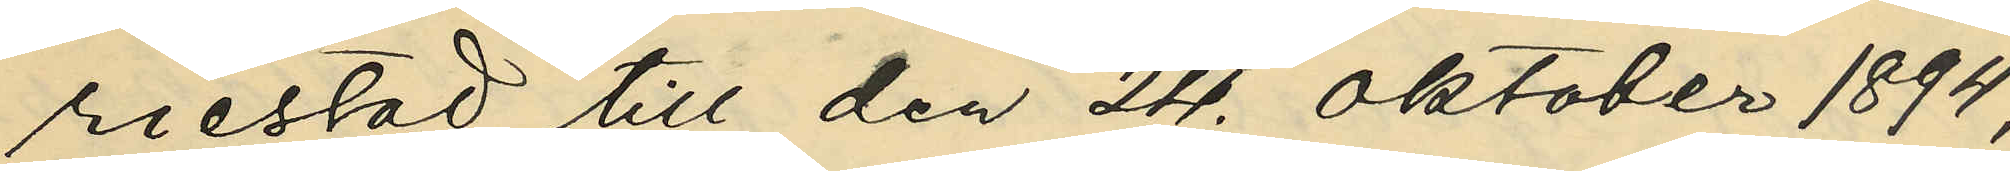riestad till den 24 Oktober 1894;
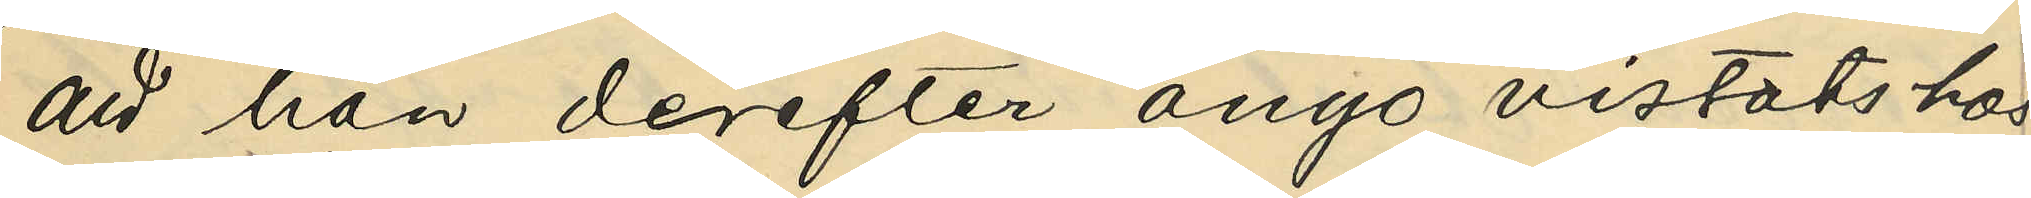att hon derefter ånyo vistats hos
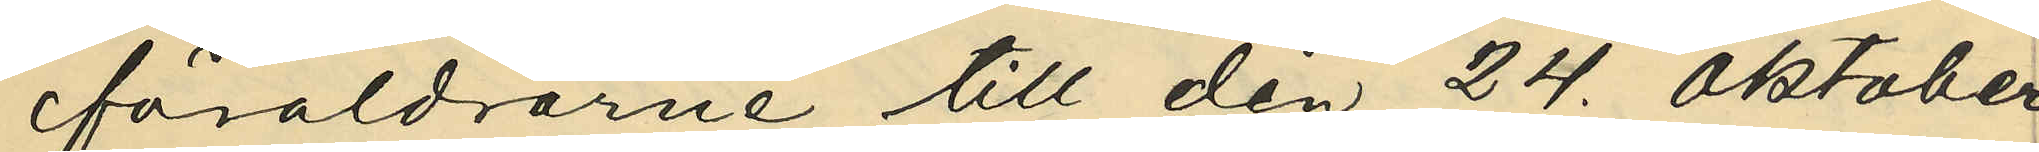föräldrarne till den 24. Oktober
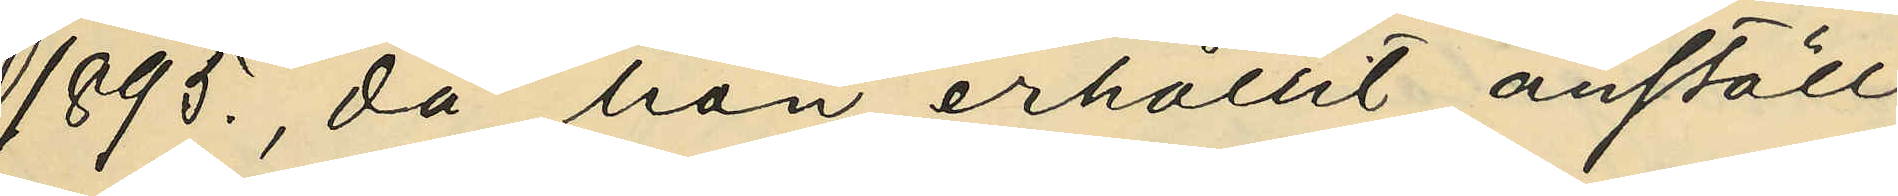1895., då hon erhållit anställ¬
